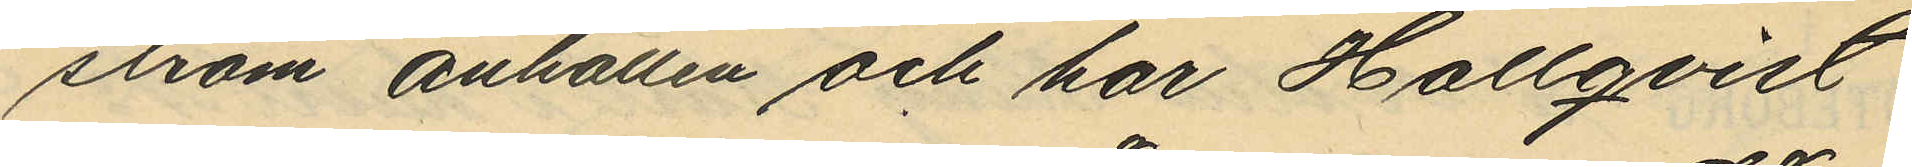ström anhållen och har Hallqvist
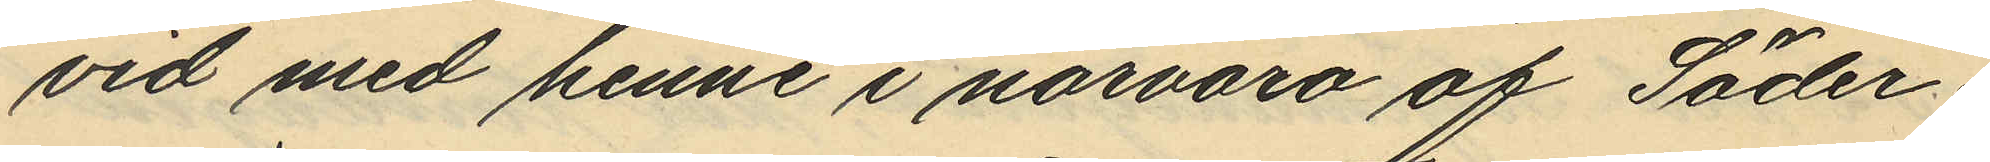vid med henne i närvaro af Söder¬
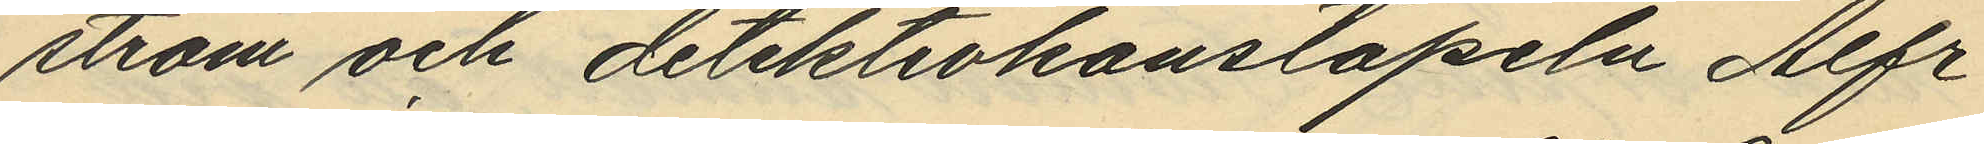ström och detektivkonstapeln Alfr
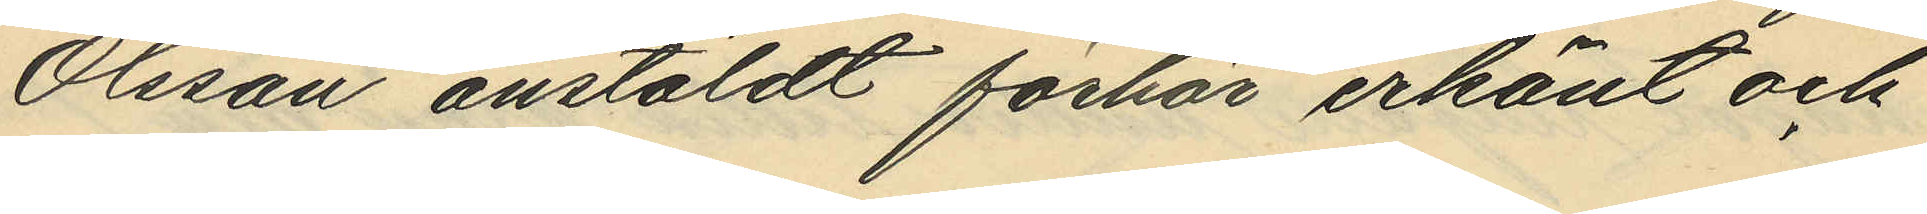Olsson anstäldt förhör erkänt och
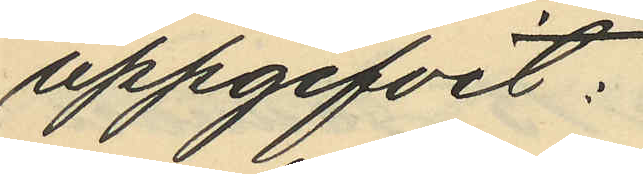uppgifvit:
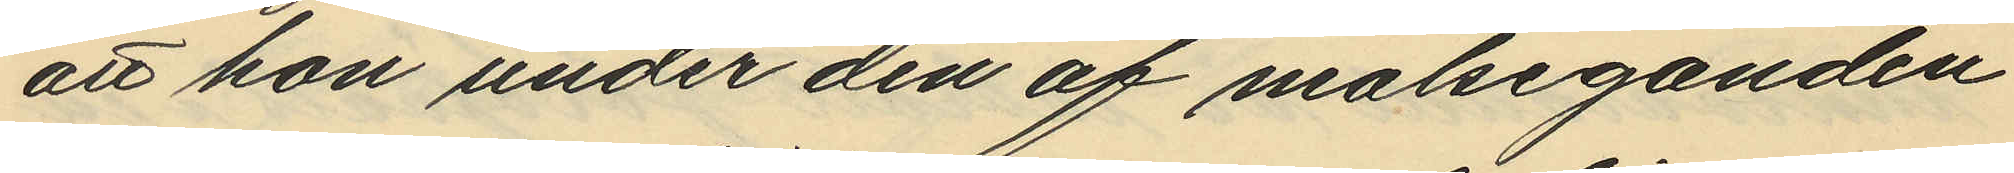att hon under den af målseganden
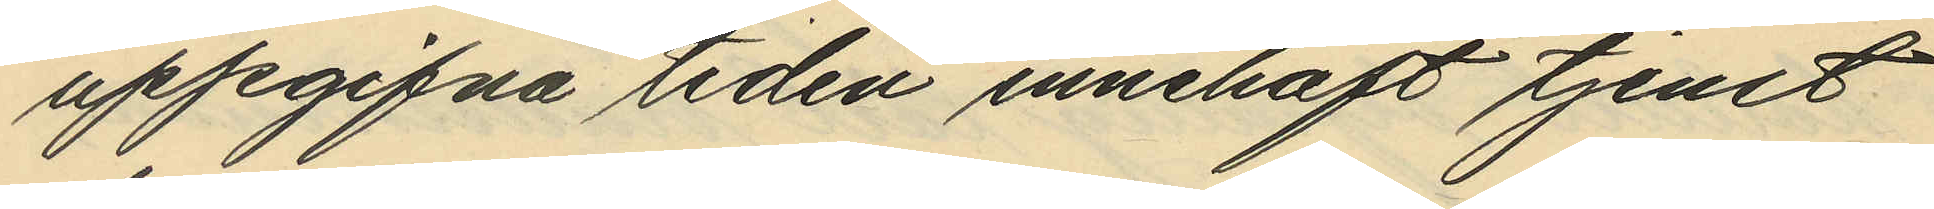uppgifna tiden innehaft tjenst
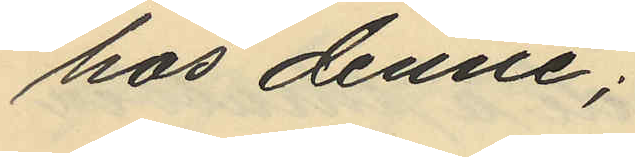hos denne;
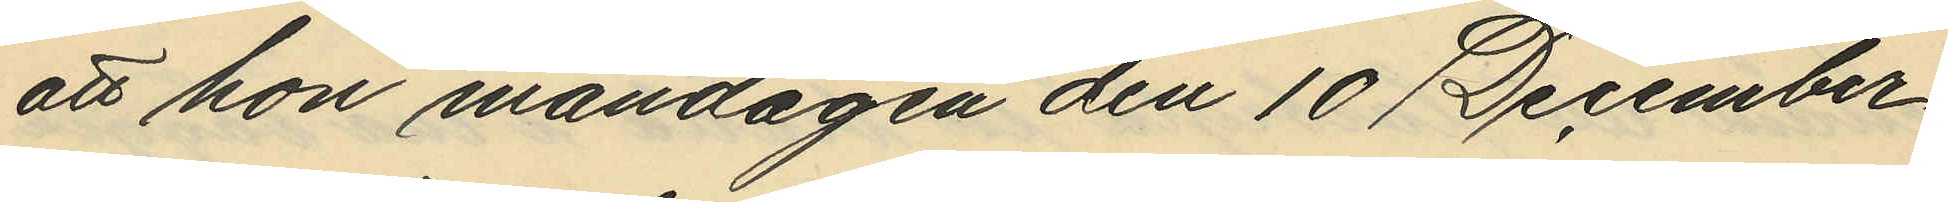att hon måndagen den 10 December
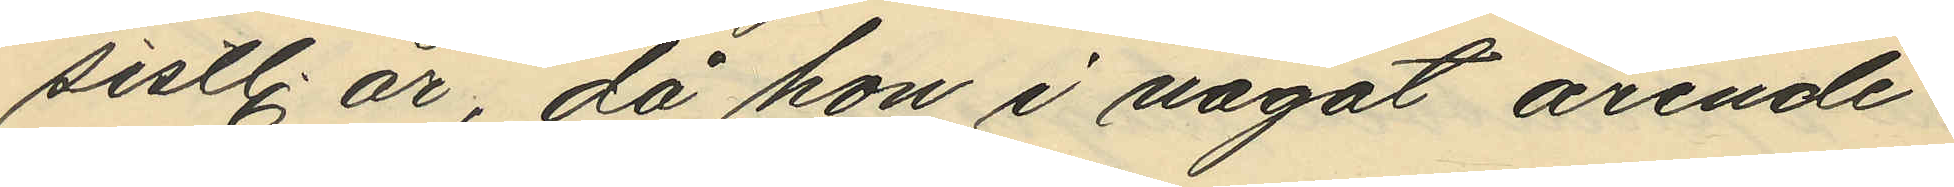sistl. år, då hon i något ärende
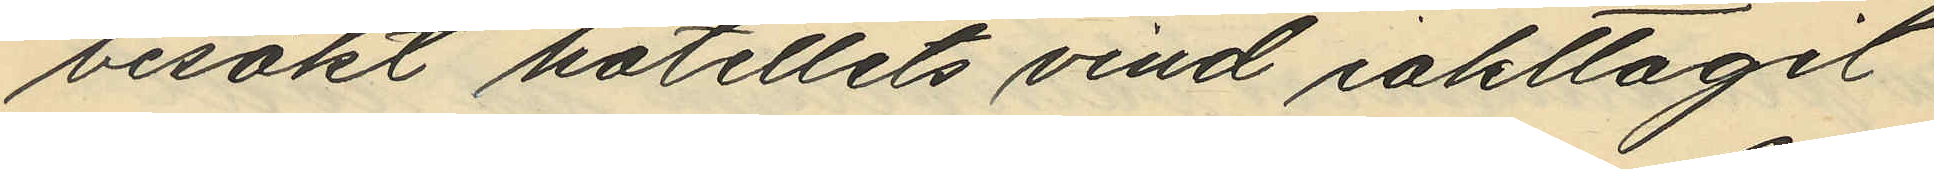besökt hotellets vind iakttagit
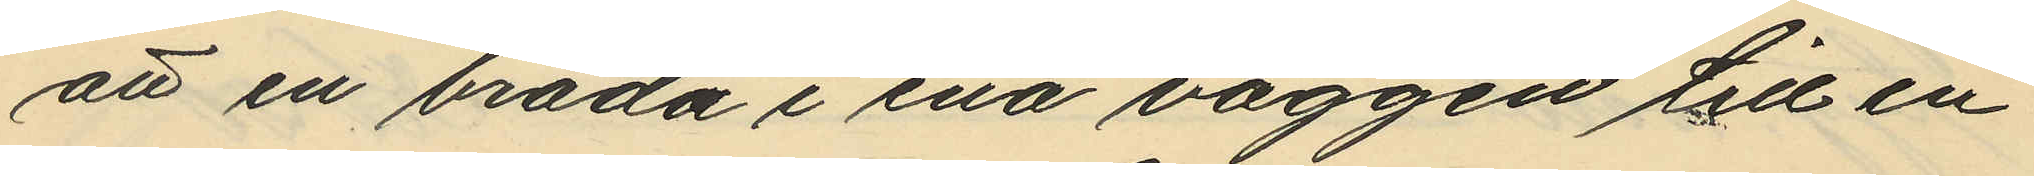att en bräda i ena väggen till en
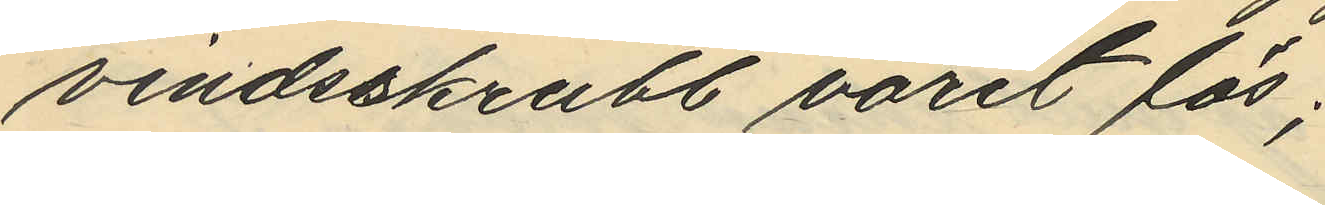vindsskrubb varit lös;
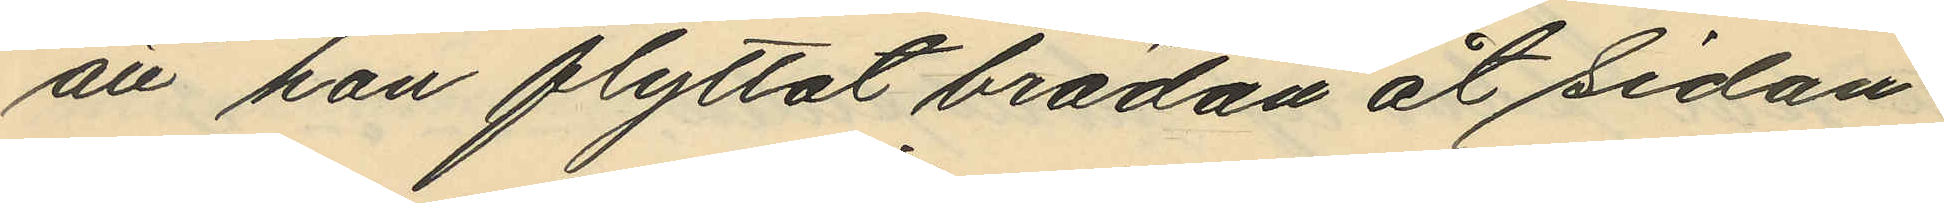att hon flyttat brädan åt sidan
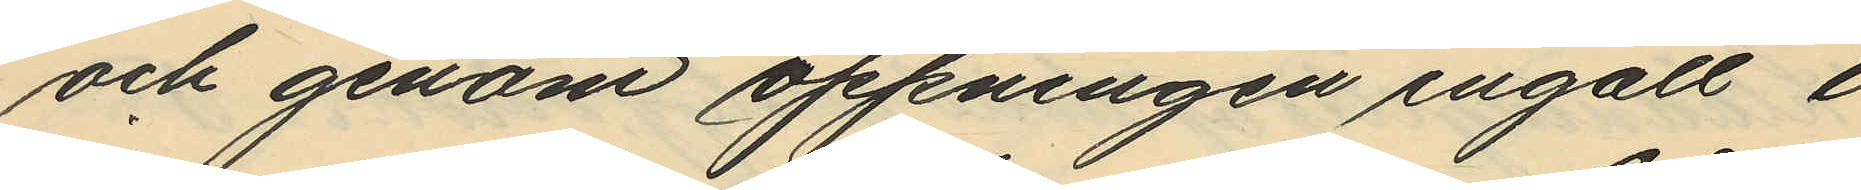och genom öppningen ingått i
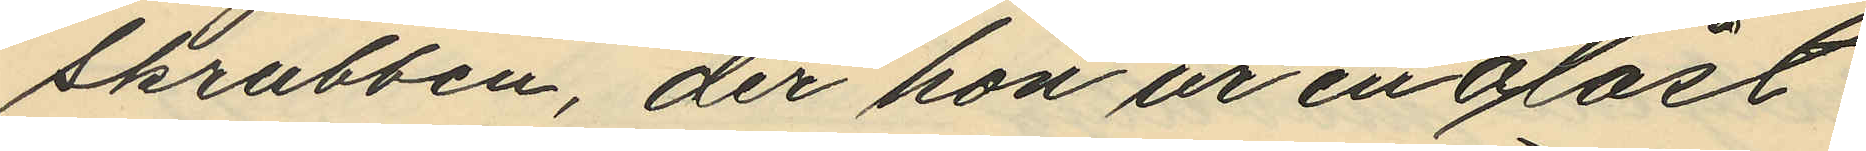skrubben, der hon ur en olåst
